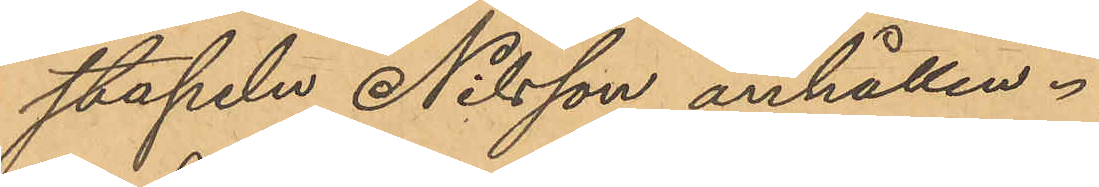stapeln Nilsson anhållen.
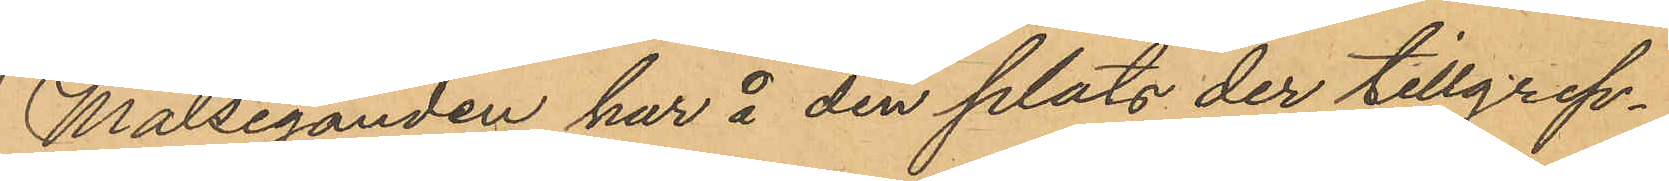Målseganden har å den plats der tillgrep¬
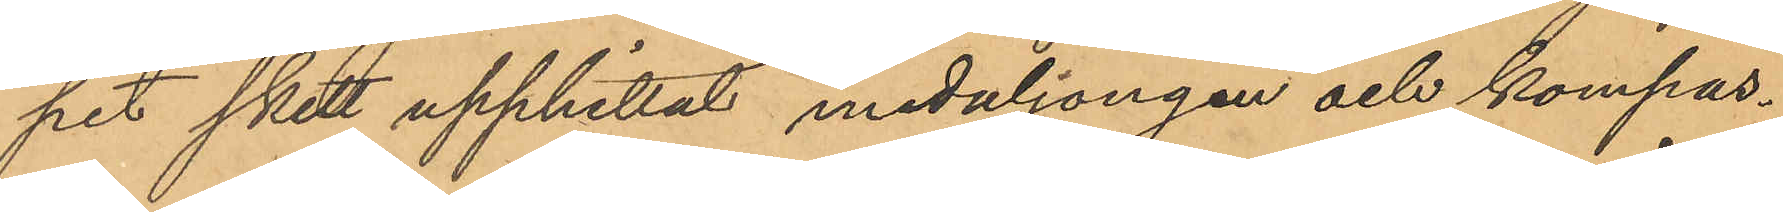pet skett upphittat medaljongen och kompas¬
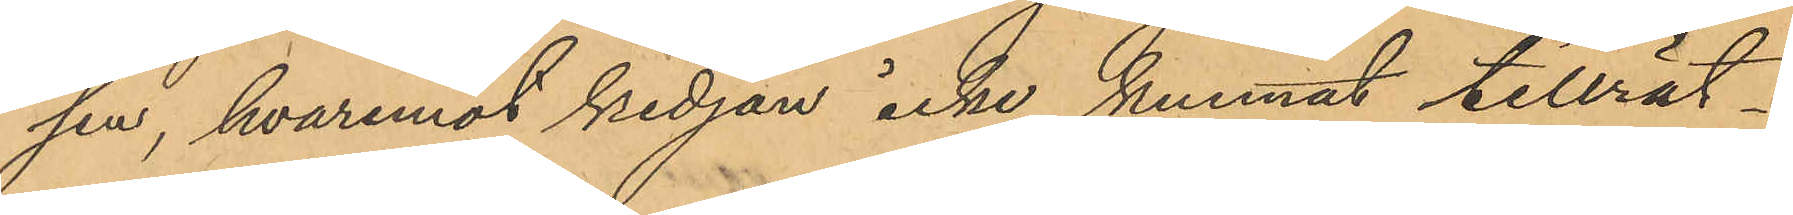sen, hvaremot kedjan icke kunnat tillrät¬
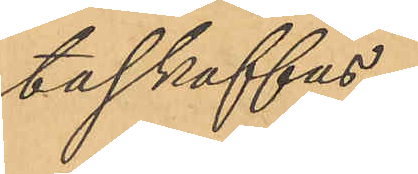taskaffas.
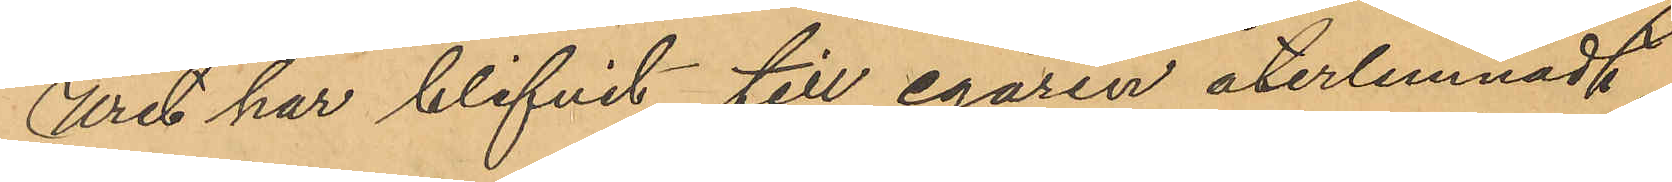Uret har blifvit till egaren återlemnadt.
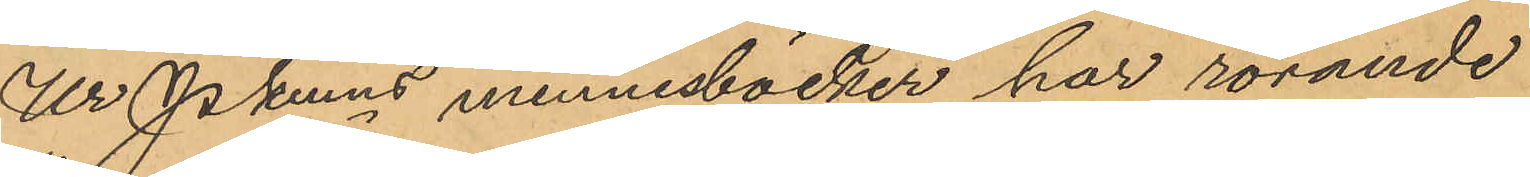Ur Pkmns minnesböcker har rörande
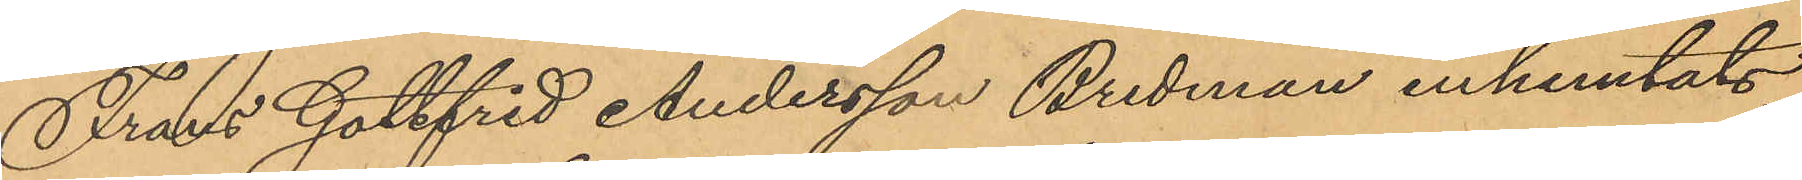Frans Gottfrid Andersson Bredman inhemtats,
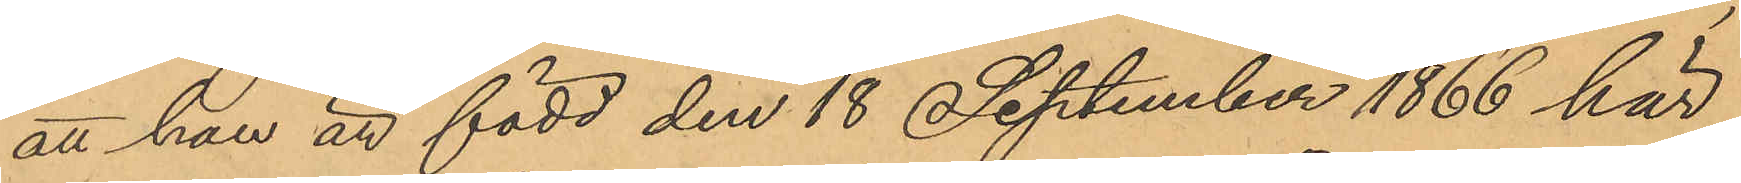att han är född den 18 September 1866 här
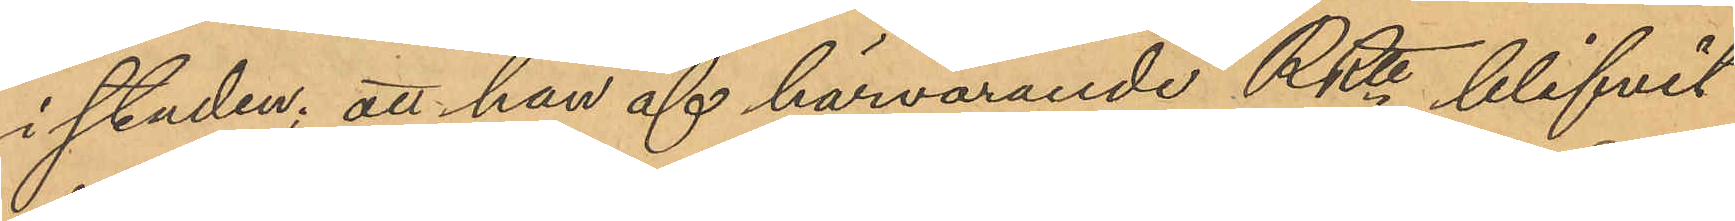i staden; att han af härvarande RRtt blifvit
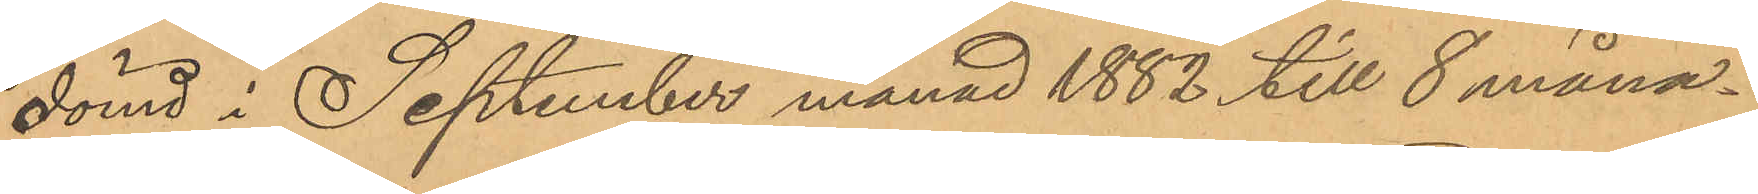dömd i September månad 1882 till 8 måna¬
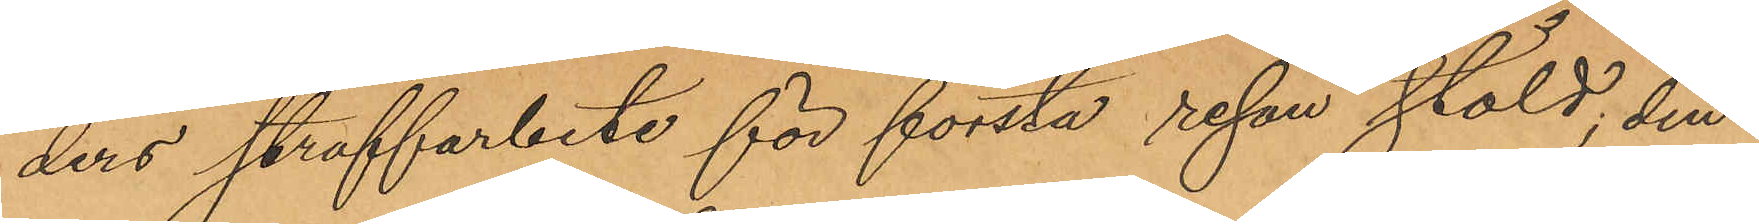ders straffarbete för första resan stöld, den
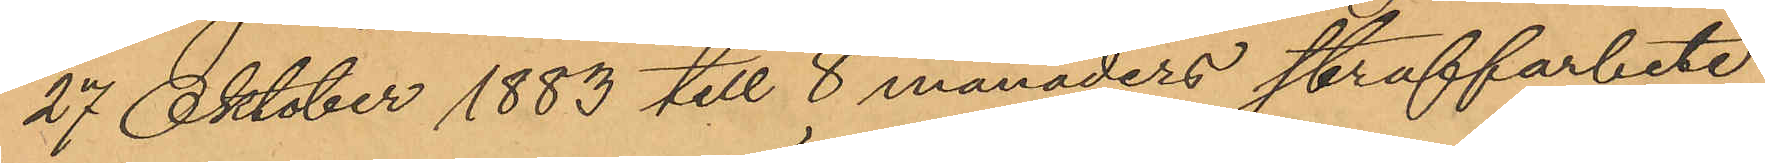27 Oktober 1883 till 8 månaders straffarbete
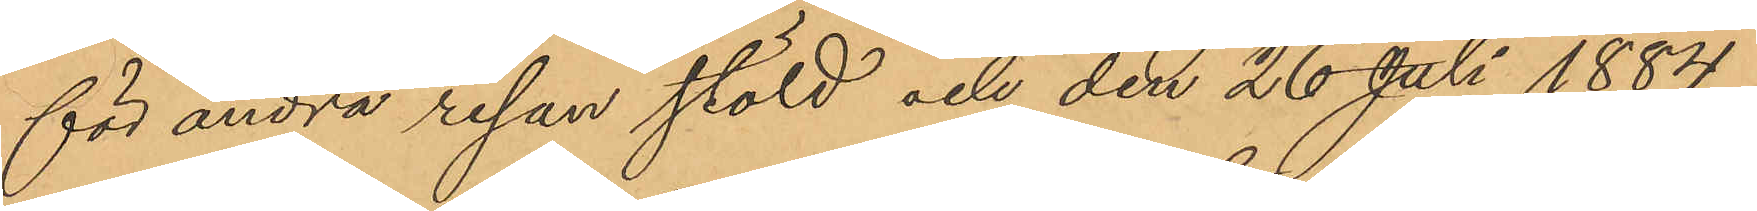för andra resan stöld och den 26 Juli 1884
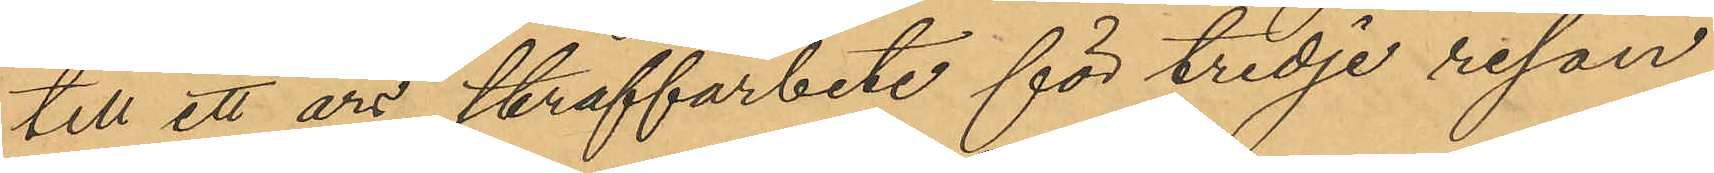till ett års straffarbete för tredje resan
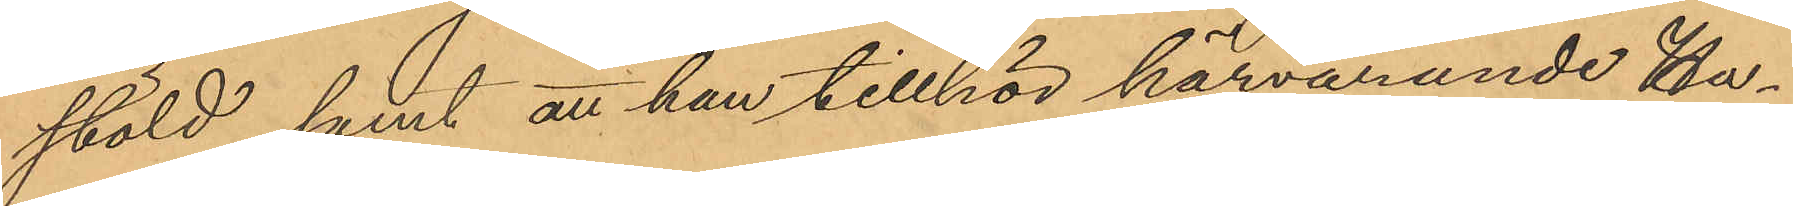stöld; samt att han tillhör härvarande Ha¬
